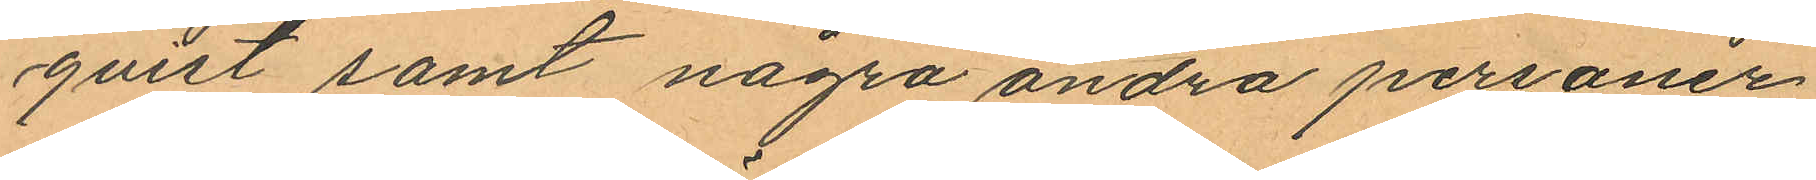qvist samt några andra personer
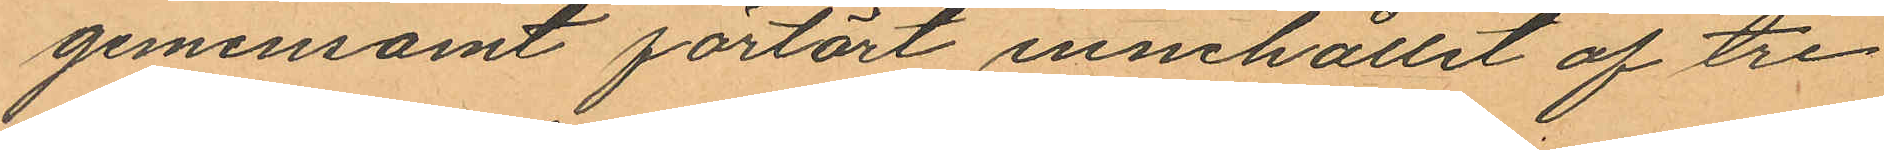gemensamt förtärt innehållet af tre
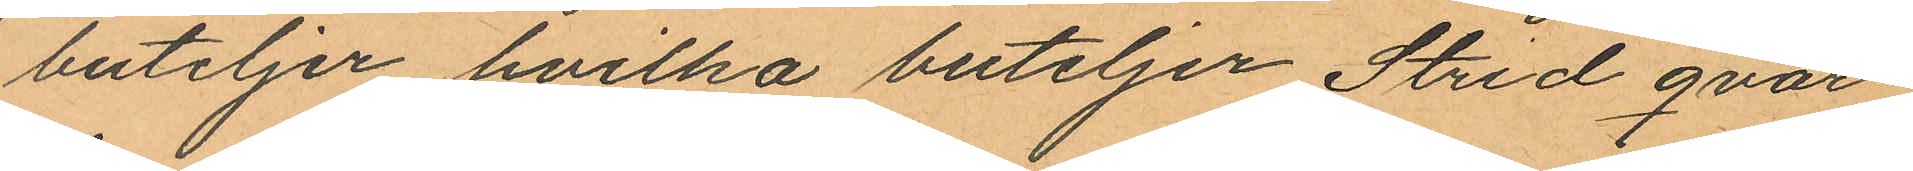buteljer hvilka buteljer Strid qvar¬
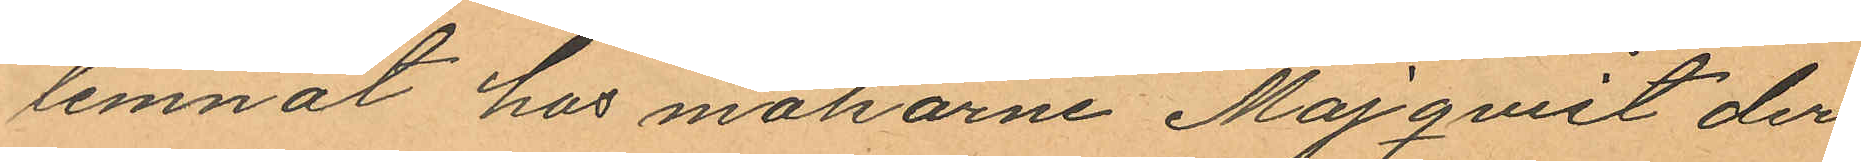lemnat hos makarne Majqvist der
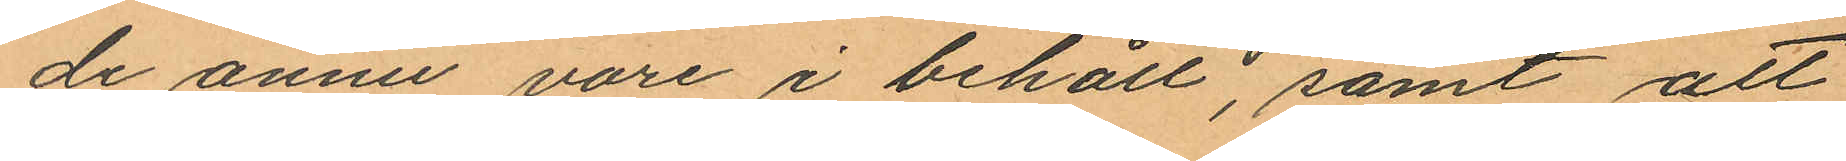de ännu vore i behåll, samt att
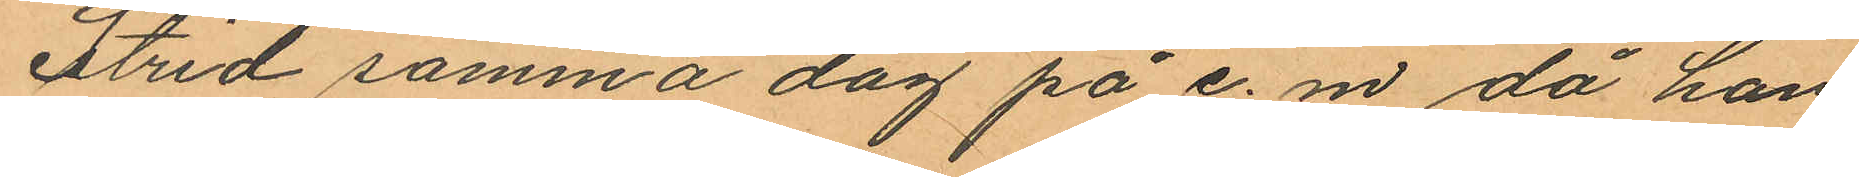Strid samma dag på e. m. då han
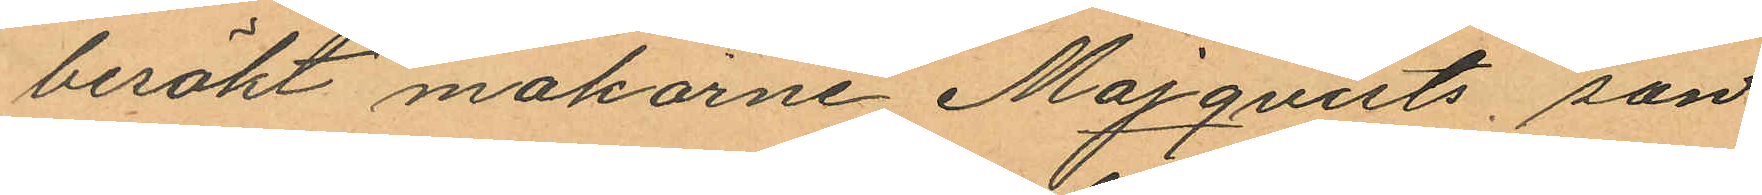besökt makarne Majqvists son
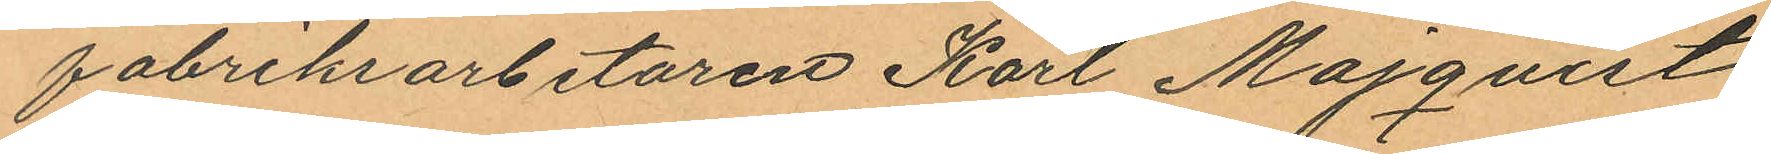fabrikiarbetaren Karl Majqvist
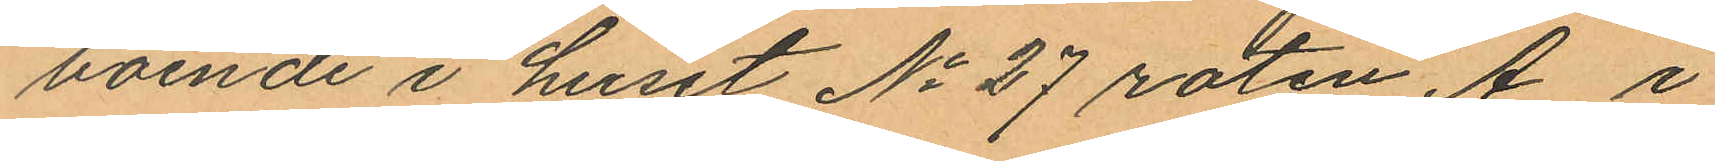boende i huset No 27 roten A i
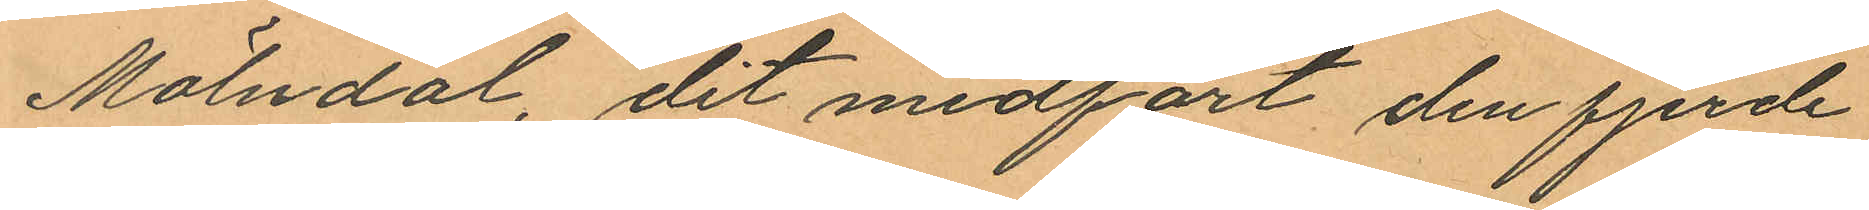Mölndal, dit medfört den fjerde
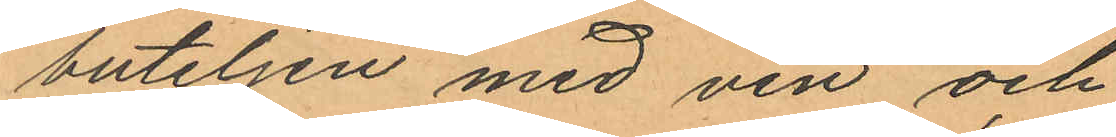buteljen med vin och
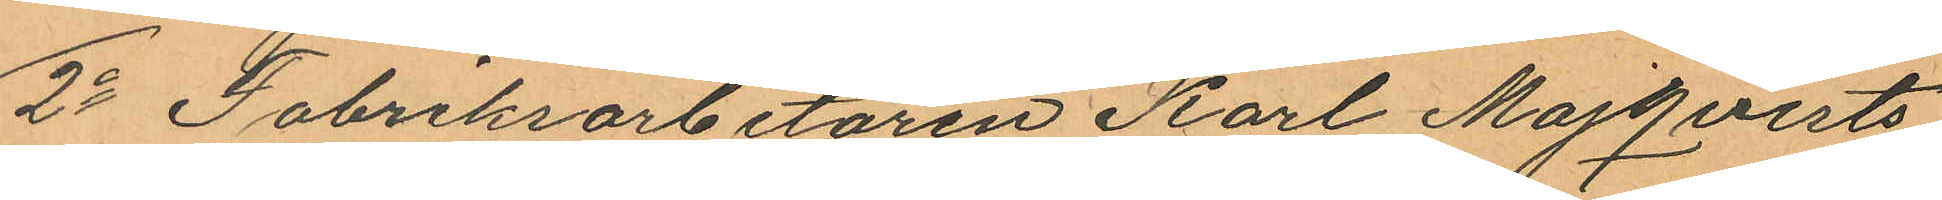2o Fabriksarbetaren Karl Majqvists
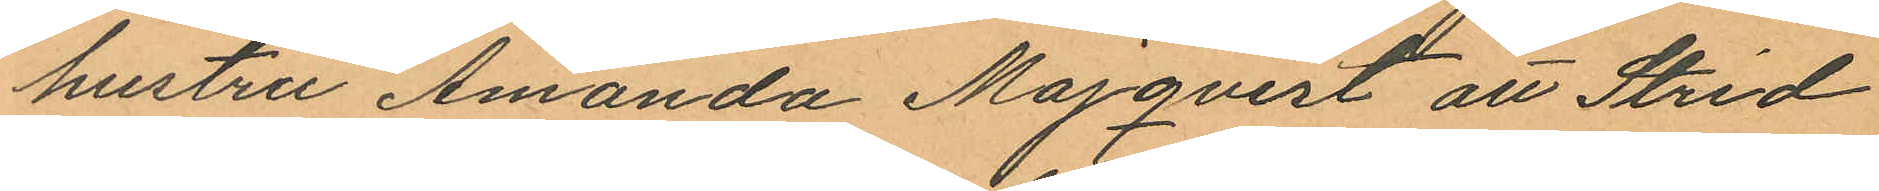hustru Amanda Majqvist att Strid
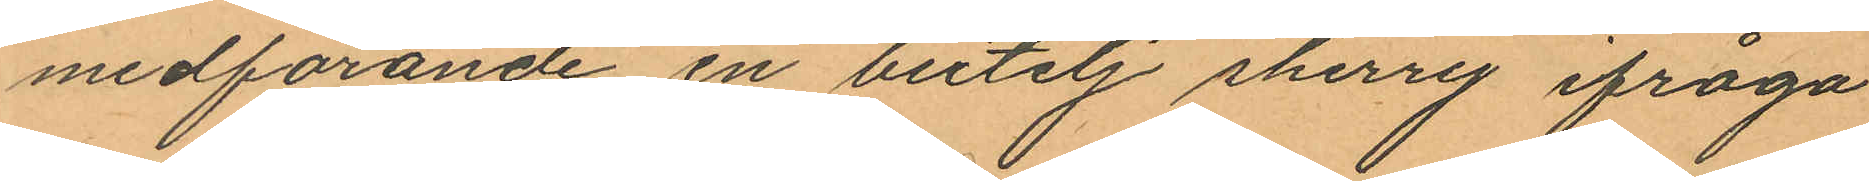medförande en butelj sherry ifråga
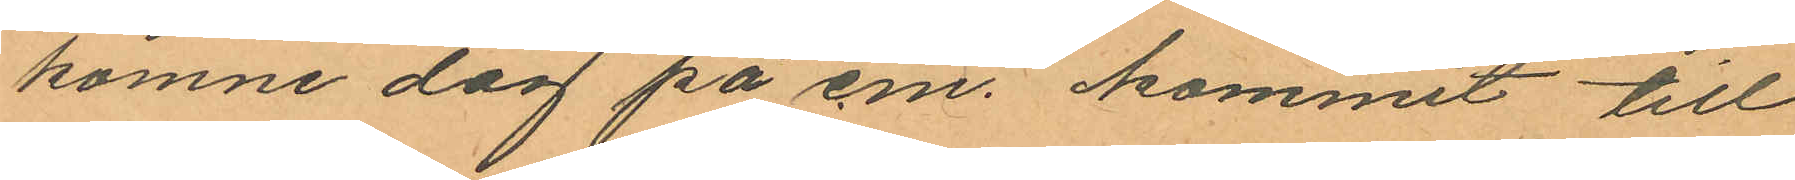komne dag på em. kommit till
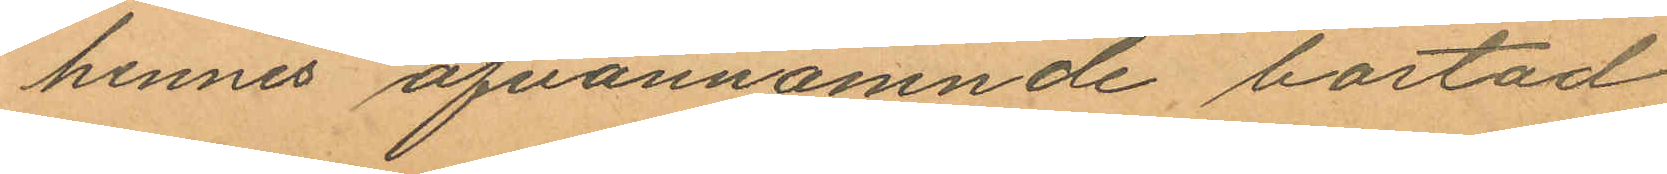hennes ofvannämnde bostad
